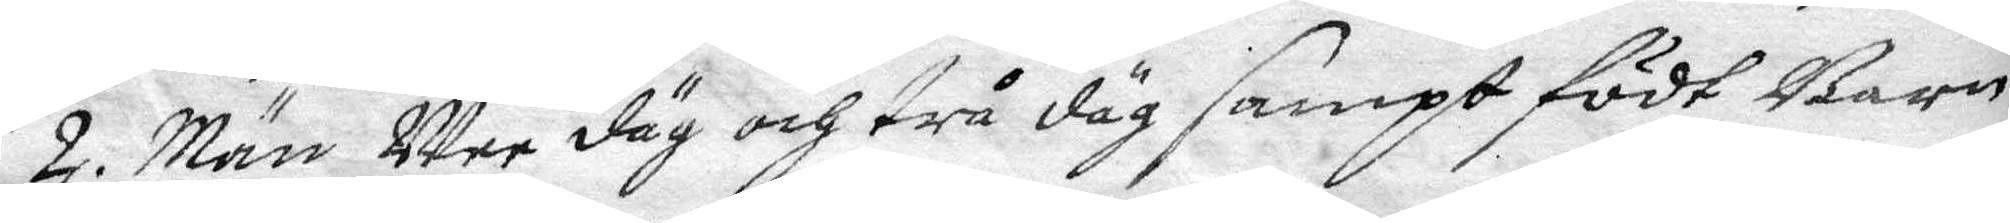2. Män Wee däg och trå däg sampt födt Barn
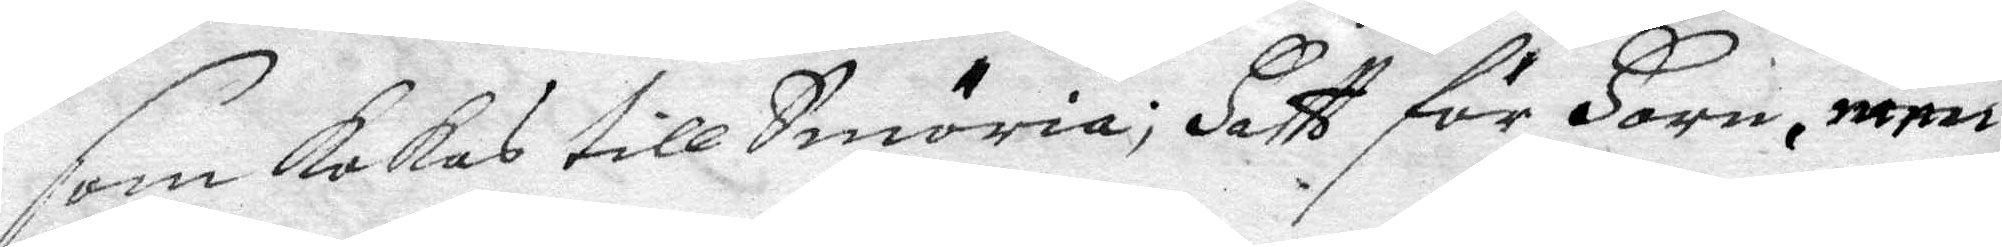som kokas till Smöria; Hatt för Horn, men
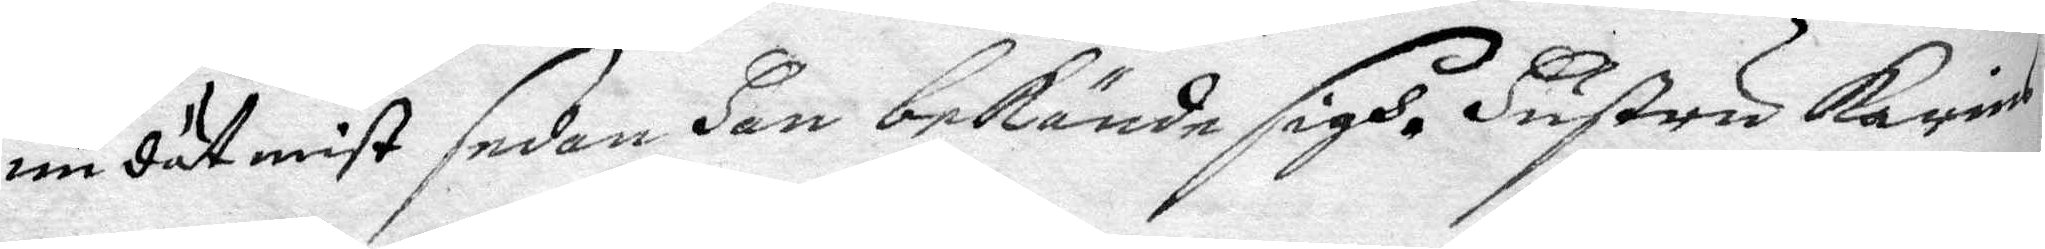nu dät mist sedan Hon bekände sigh. Hustru Karins
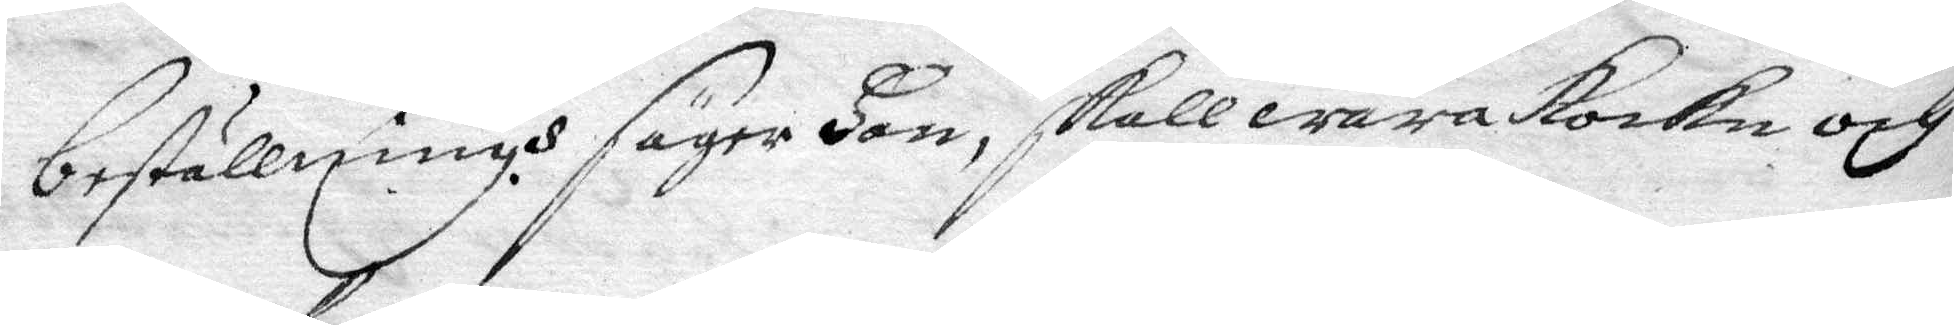beställningh säger Hon, skall wara kocke och
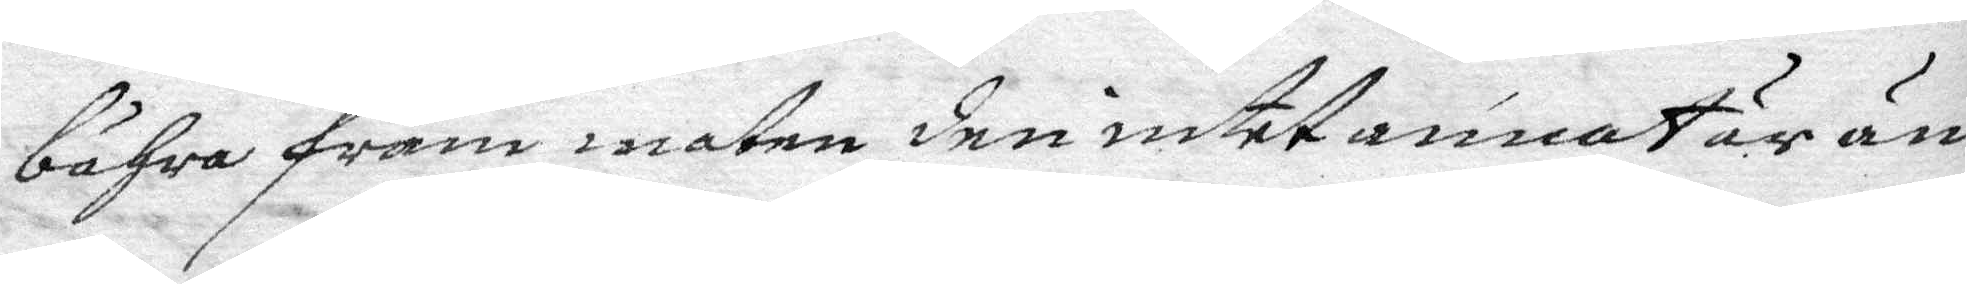bähra fram maten den intet annat är än
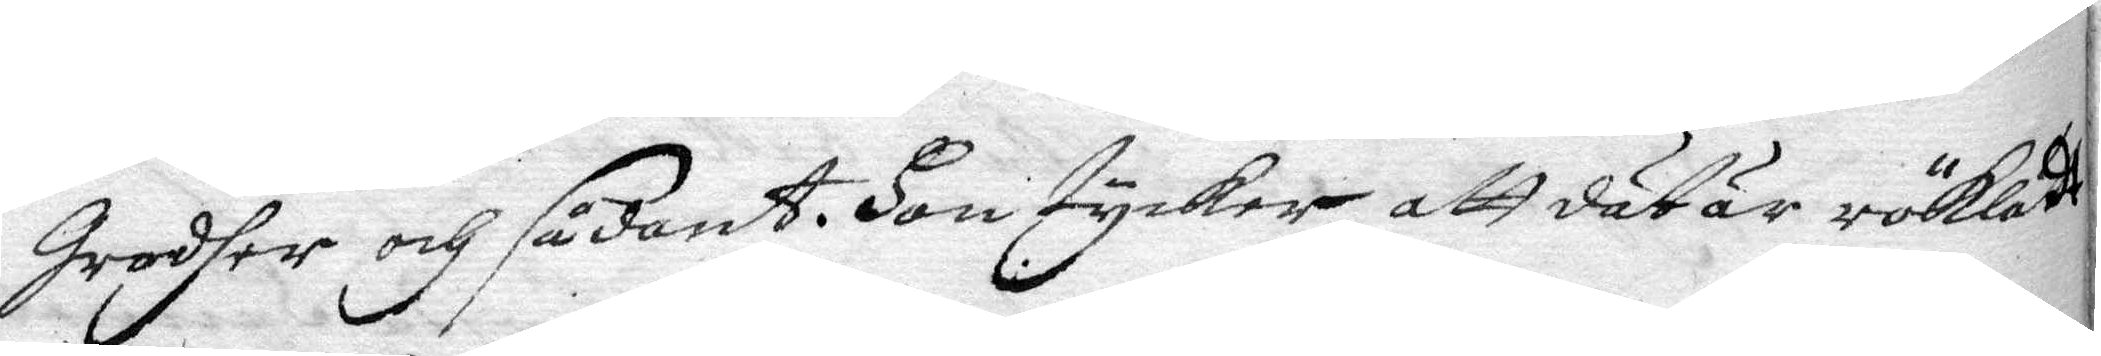Grodher och sådant. Hon tycker att dät är rödklädt
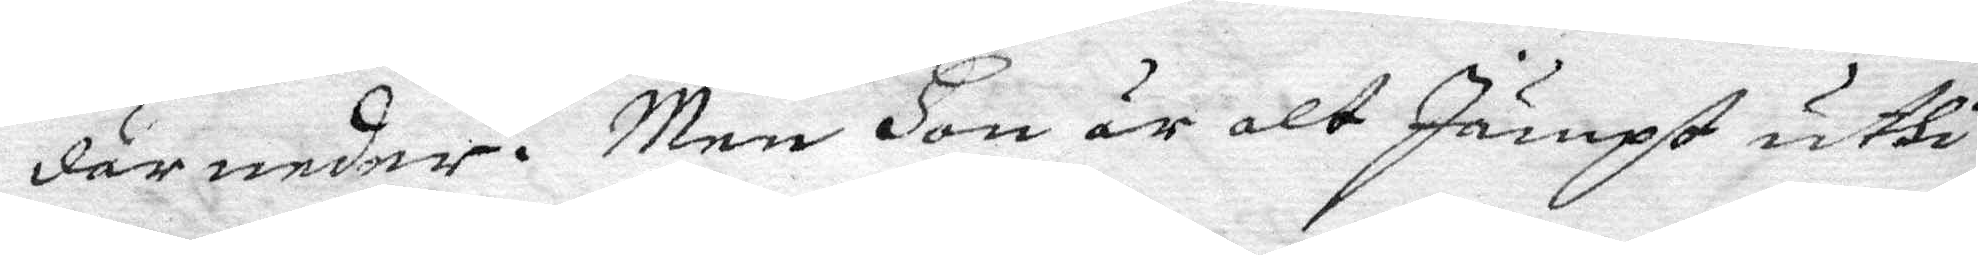där under. Men Hon är alt Jämpt uthi
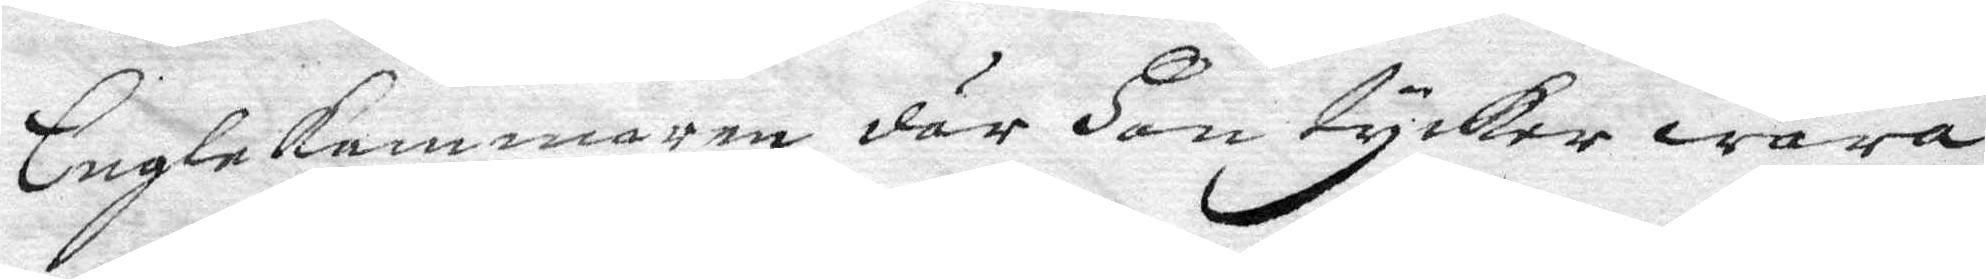Englekammaren där Hon tycker wara
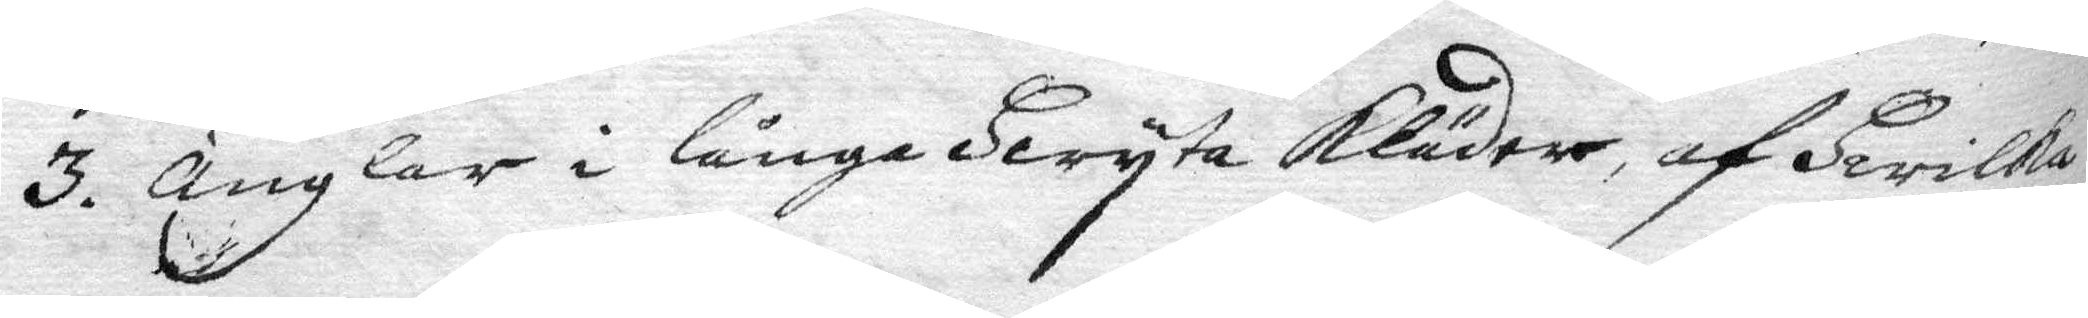3. Änglar i långa Hwyta kläder af Hwilkw
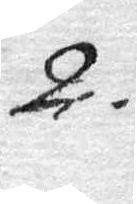2.
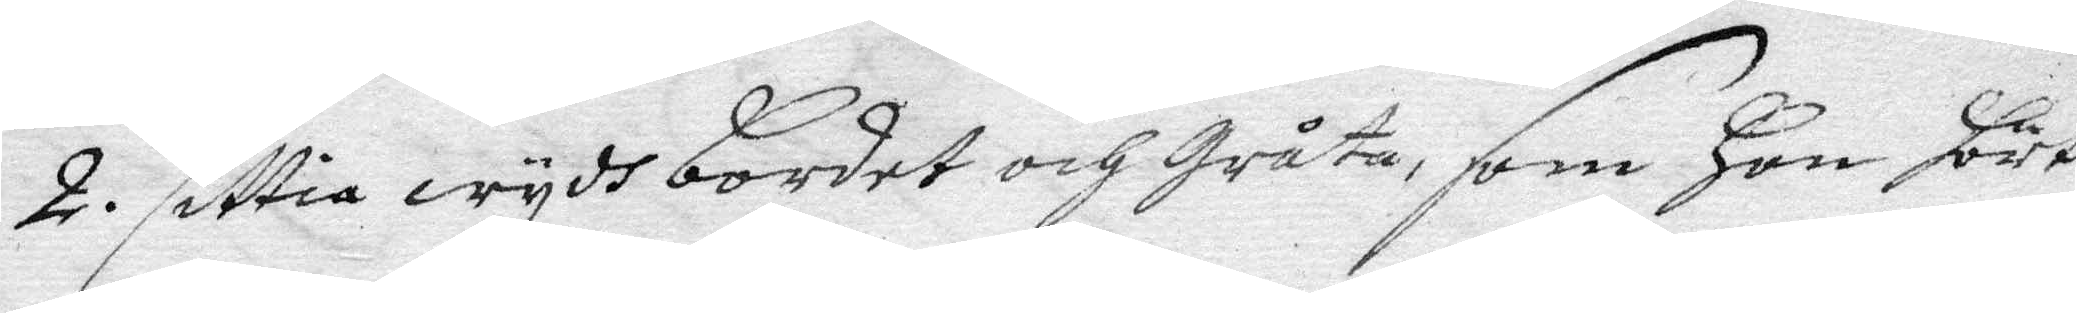2. sittia wydh bordet och Gråta, som Hon hört
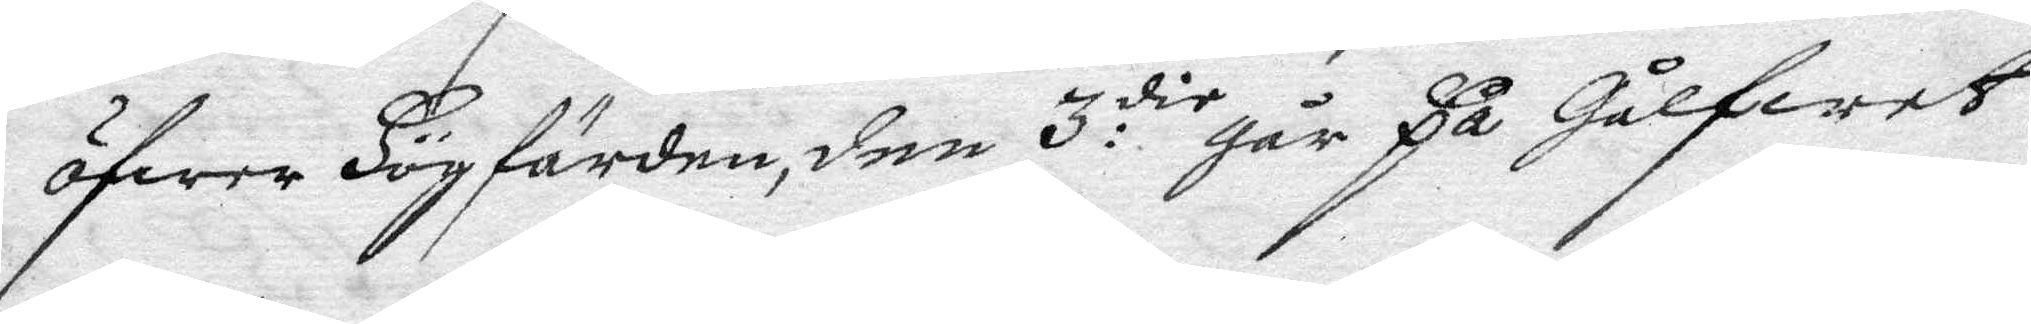öfwer Högfärden, den 3:die går på Gålfwet
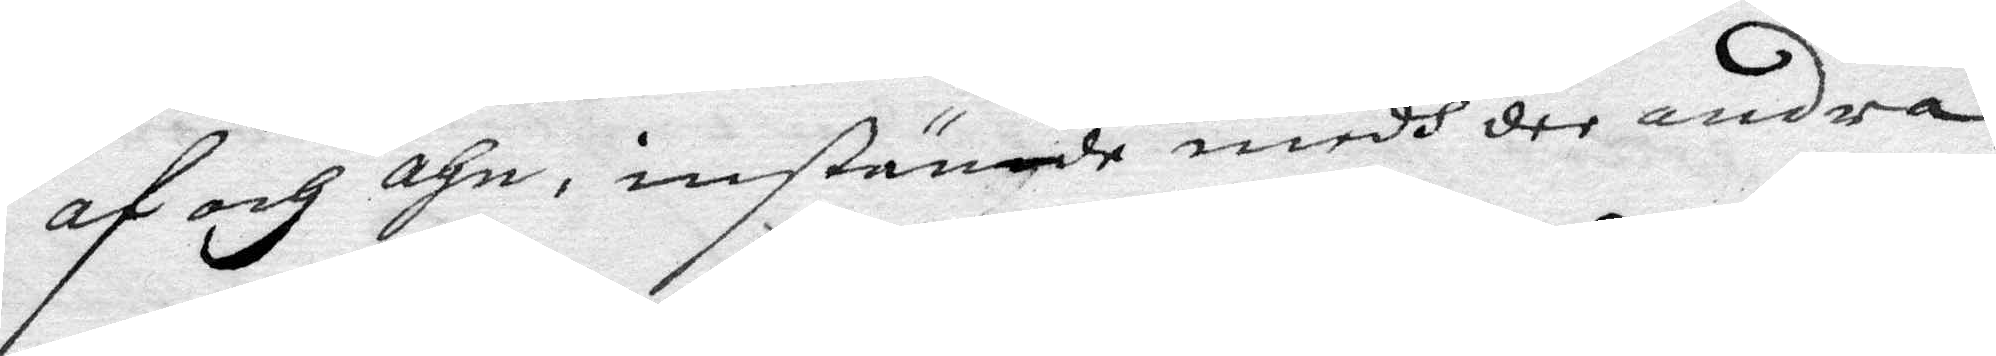af och ahn, instämde medh dee andra
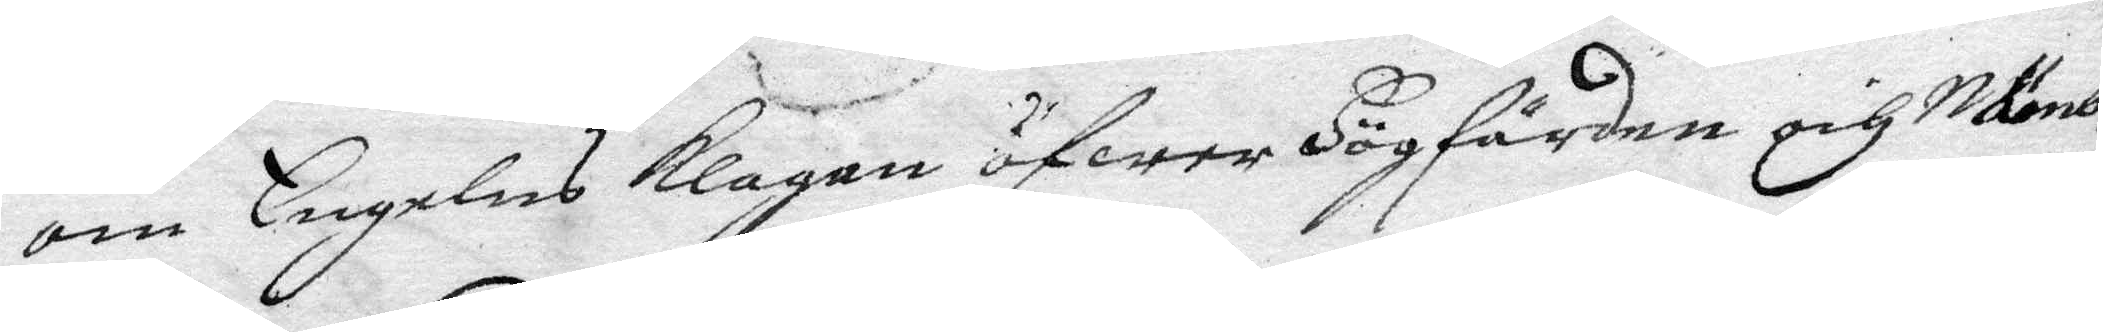om Engelens Klagan öfwer Högfärden och Nämb¬
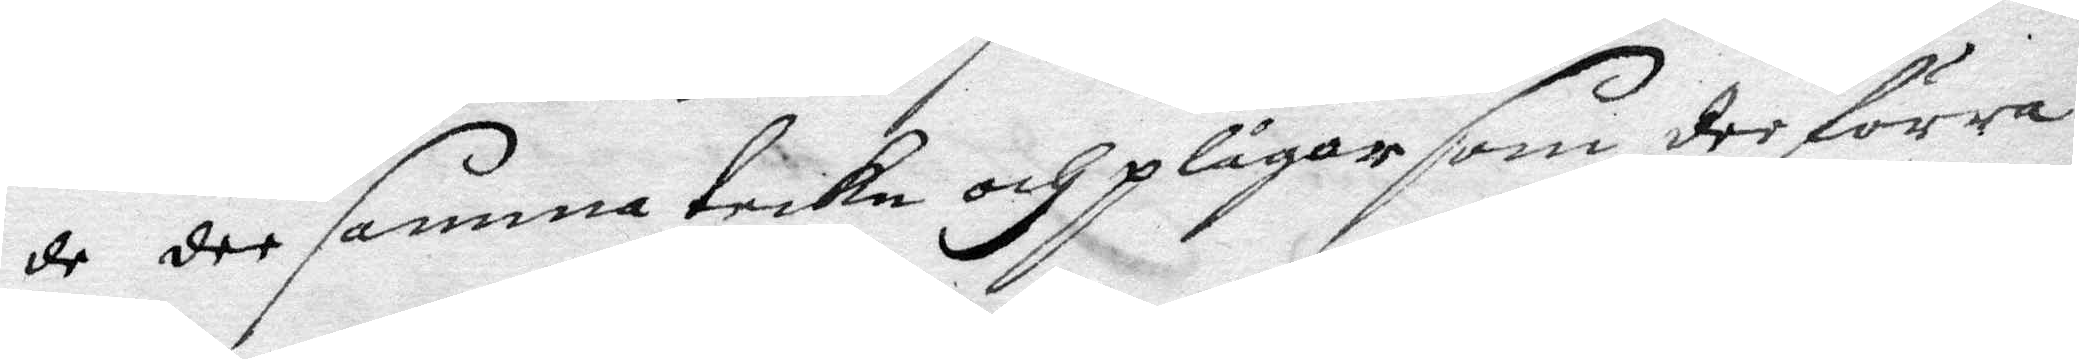de dee samma tecke och plågor som dee förra
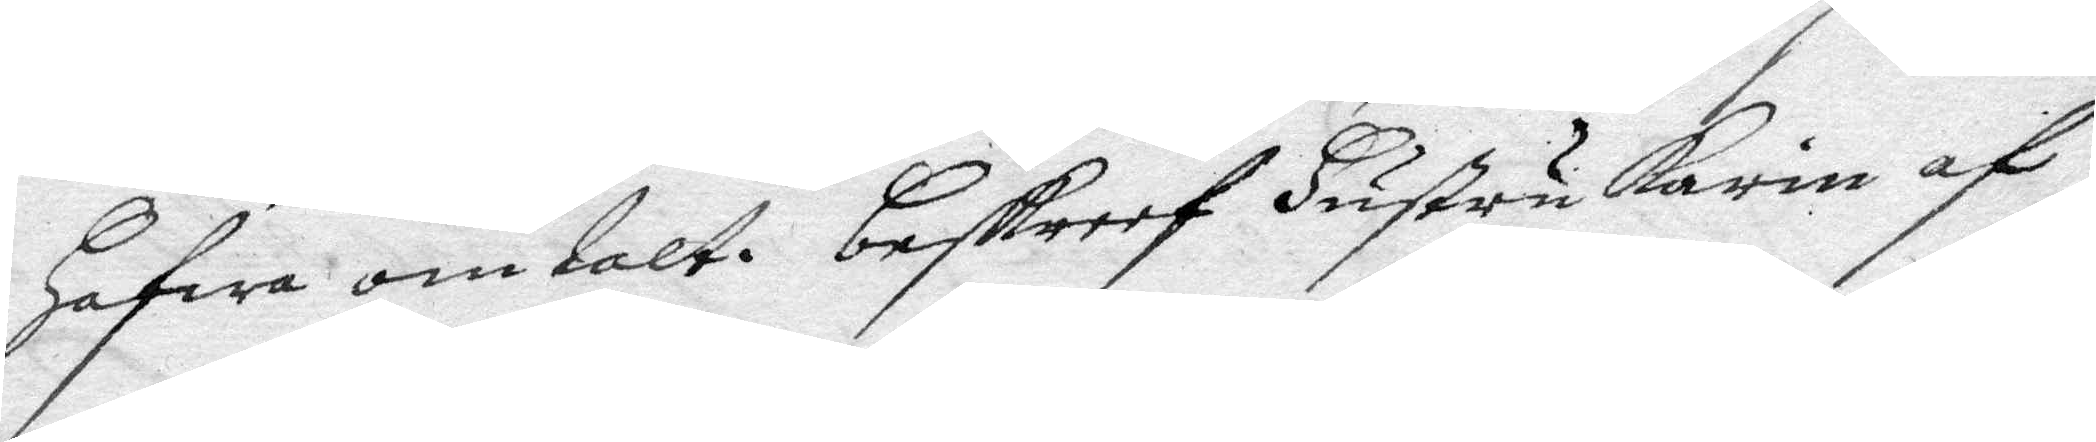Hafwa omtalt. Beskreef Hustru Karin af
